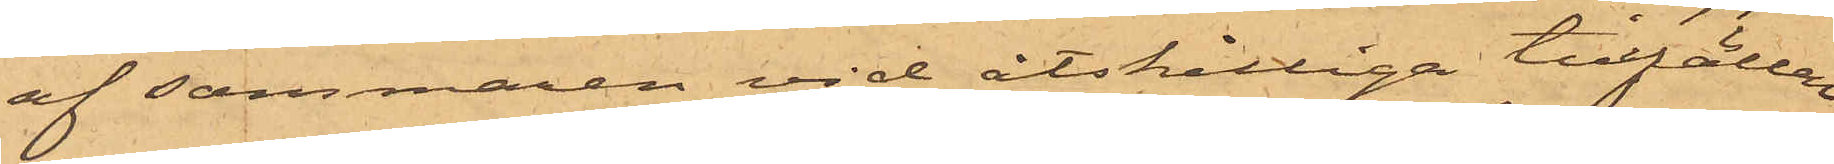af sommaren vid åtskilliga tillfällen
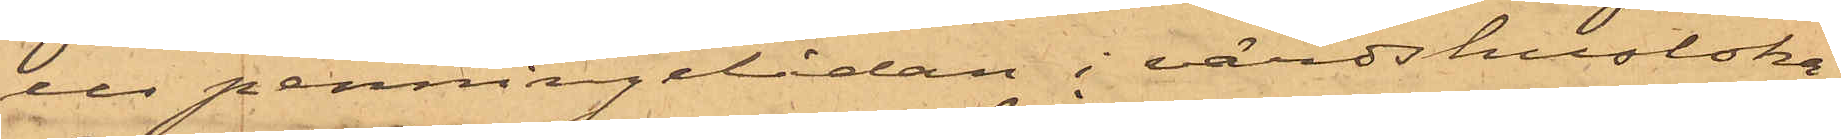ur penningelådan i värdshusloka¬
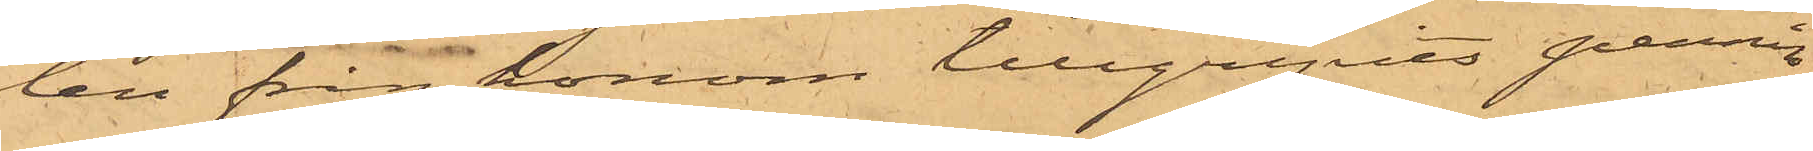len från honom tillgripits pennin¬
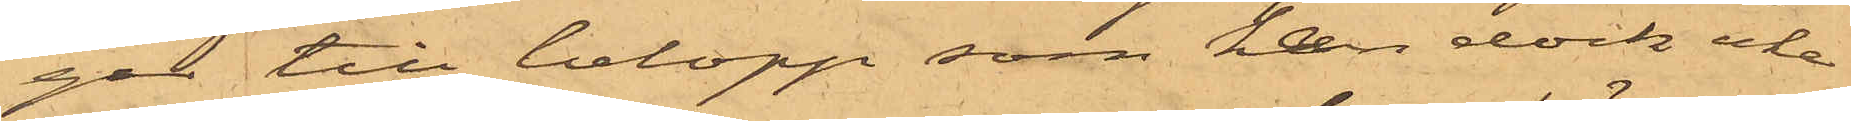gar till belopp, som han dock icke
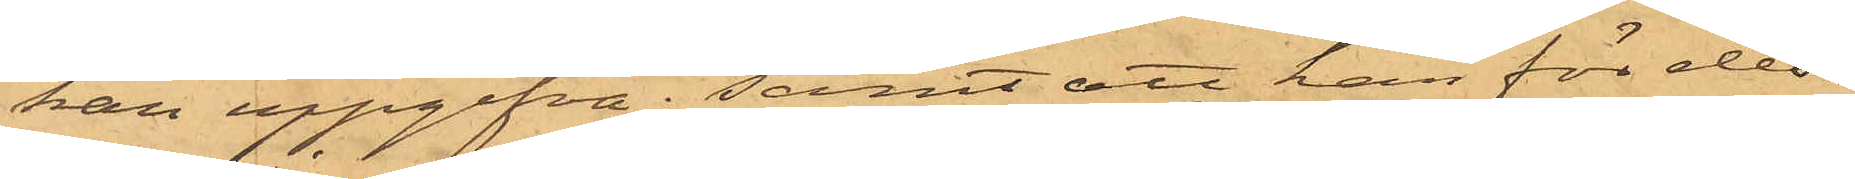kan uppgifva; samt att han för des¬
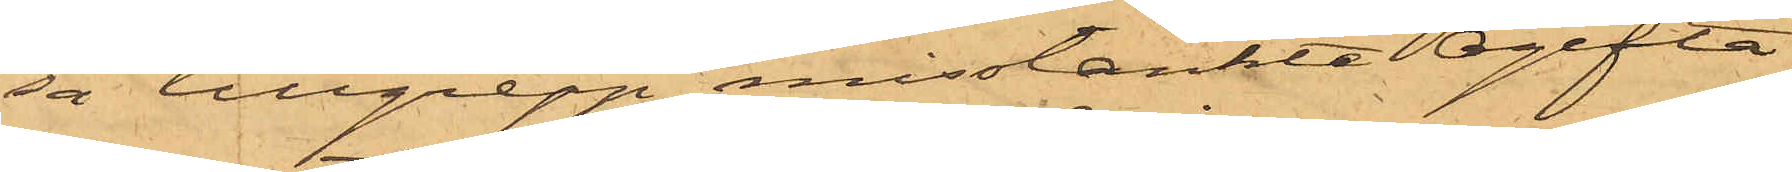sa tillgrepp misstänkte Ogifta
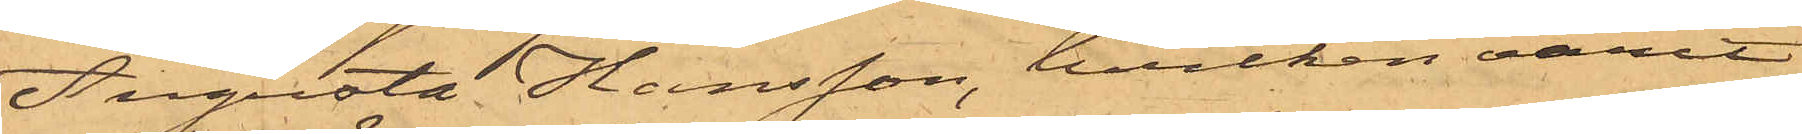Augusta Hansson, hvilken varit
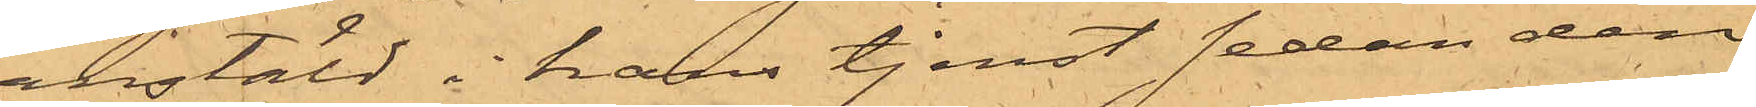anstäld i hans tjenst sedan den
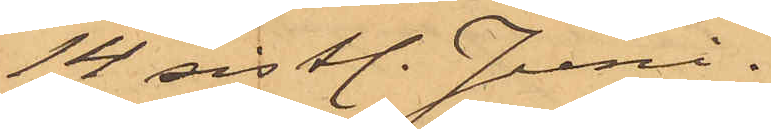14 sistl. Juni.
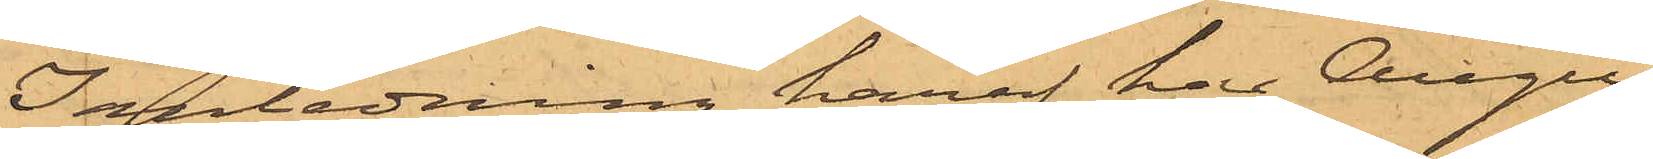I anledning häraf har Augu¬
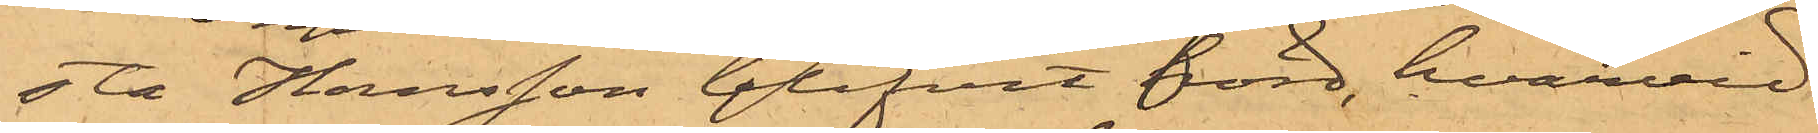sta Hansson blifvit hörd, hvarvid
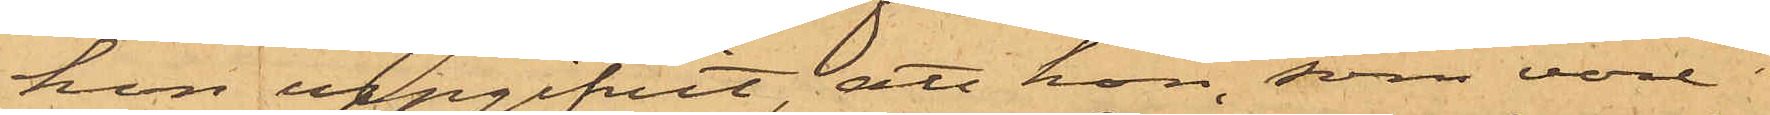hon uppgifvit, att hon som vore
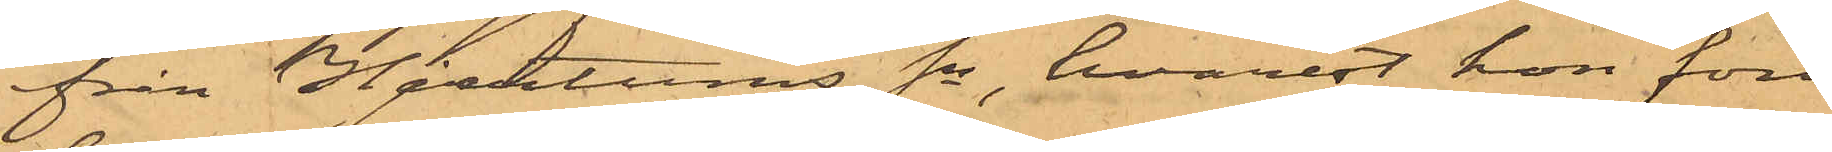från Hjertums Sn, hvarest hon fort¬
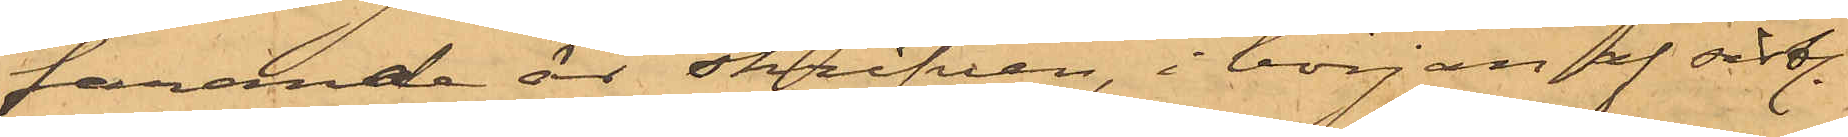farande är skrifven, i början af sistl.
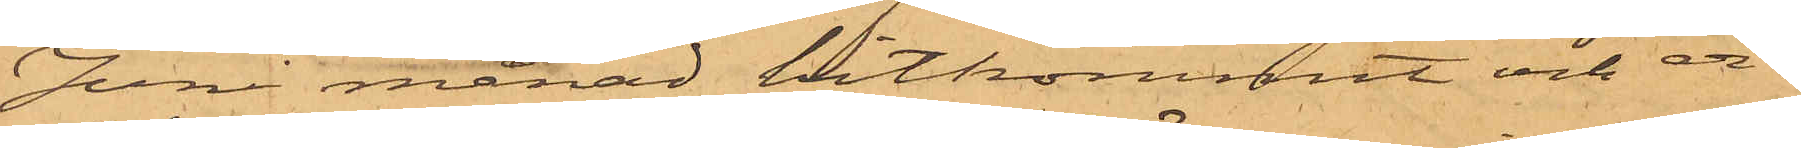Juni månad hitkommit och er¬
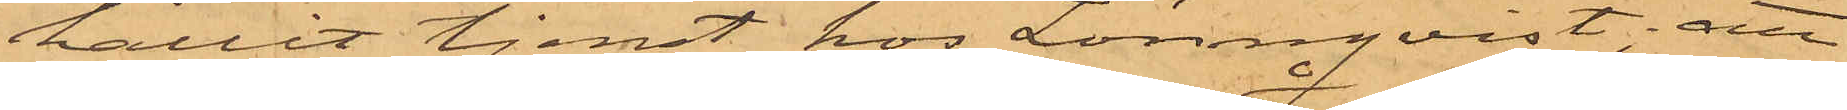hållit tjenst hos Lönnqvist; att
